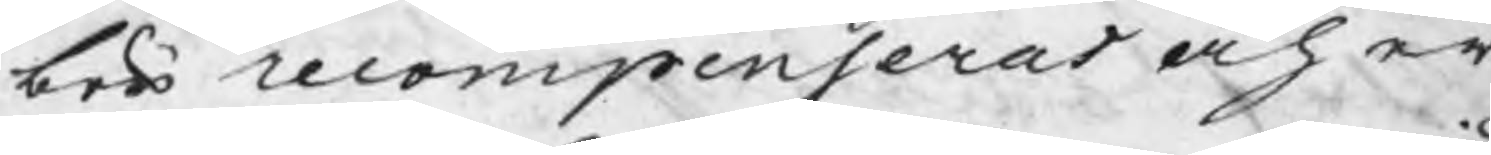bör recompenserat och er¬
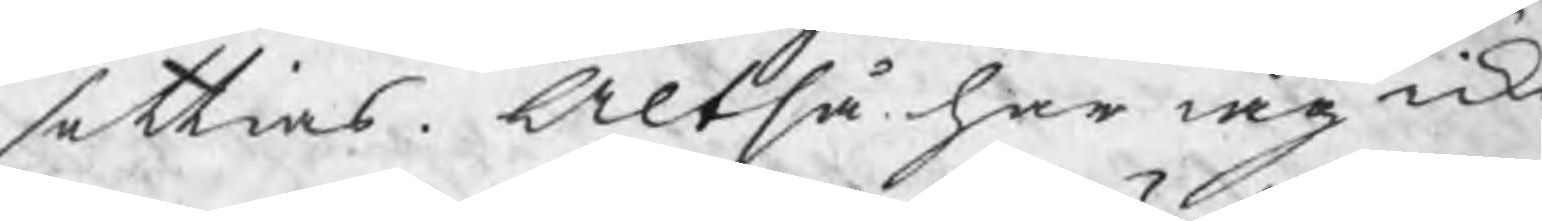settias. Altså har iag icke
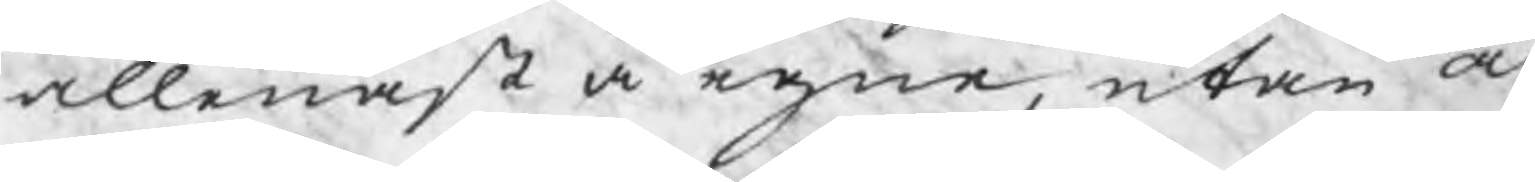allenast å egna, utan och
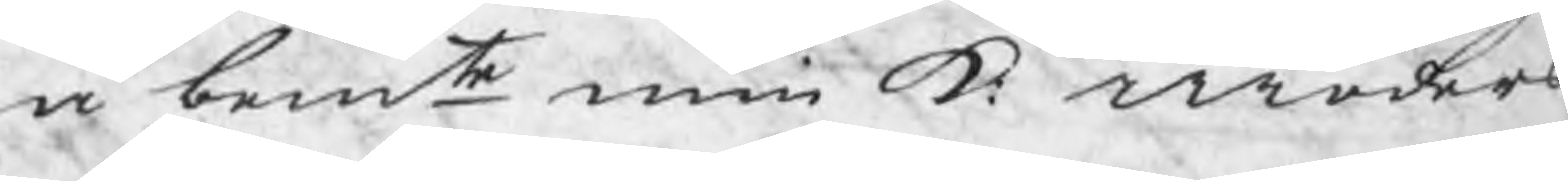å bemte min K: moders
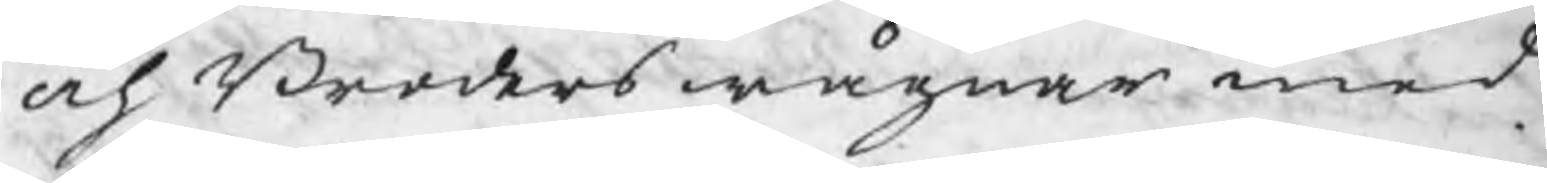och Broders wägnar med
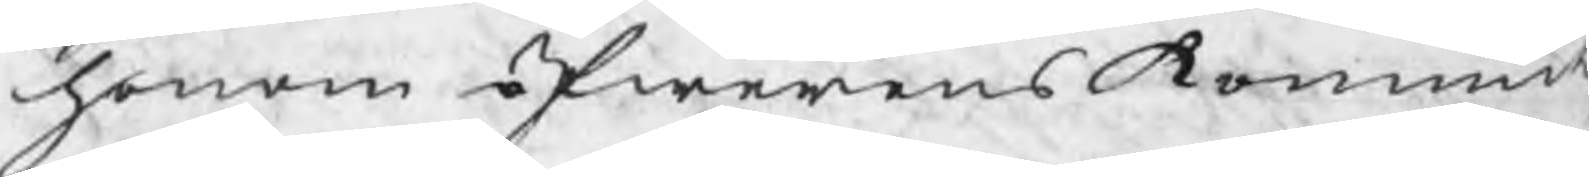honom öfwerenskommit
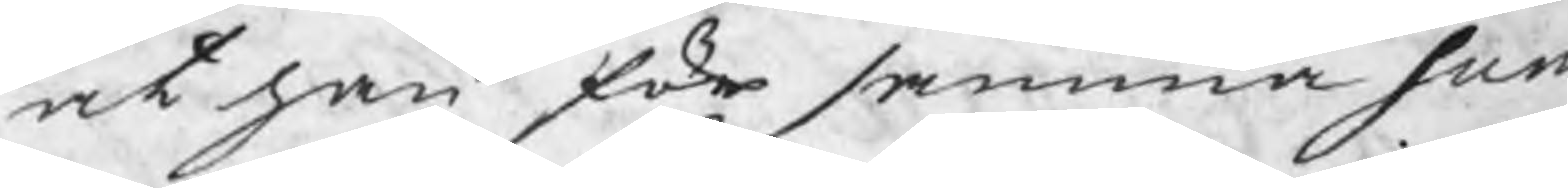at han för samma sum¬
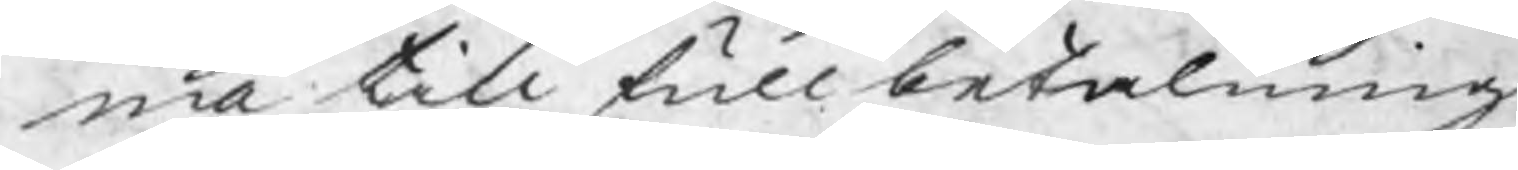ma till full betalning
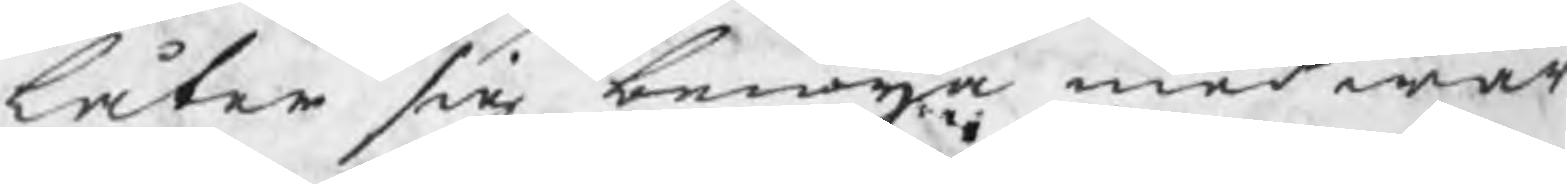låter sig benöijam med wär
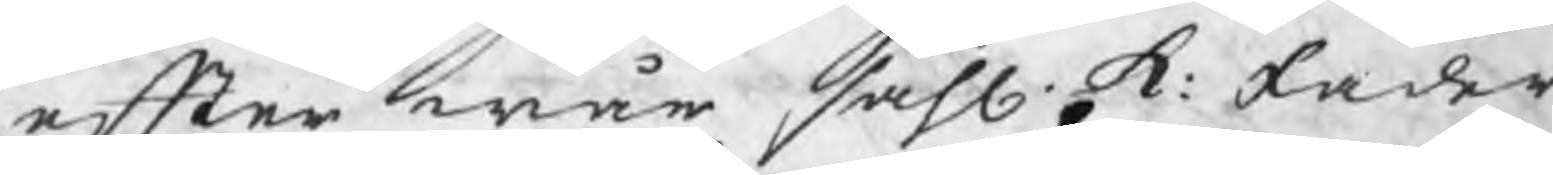efter wår sahl. k: fader
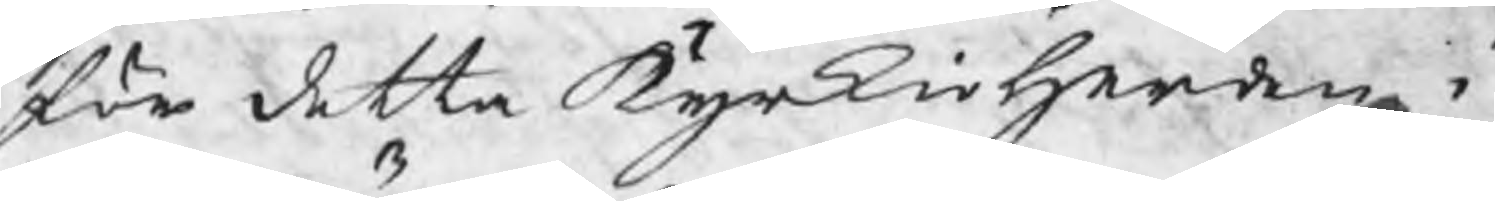för detta kyrkioherden i
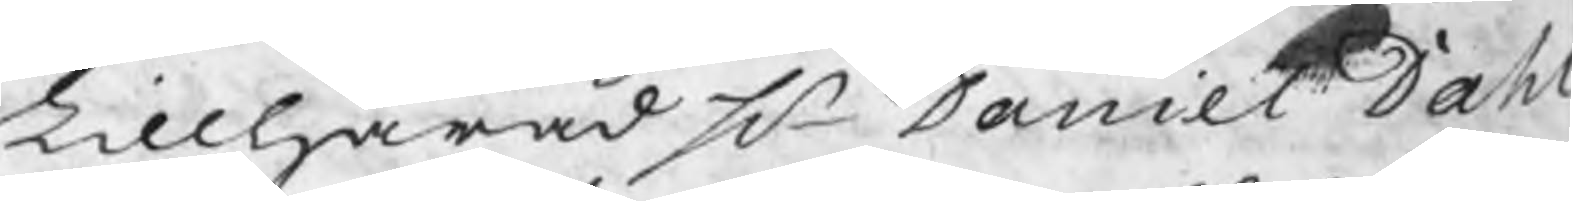Lillhärad Hr Daniel Dahl
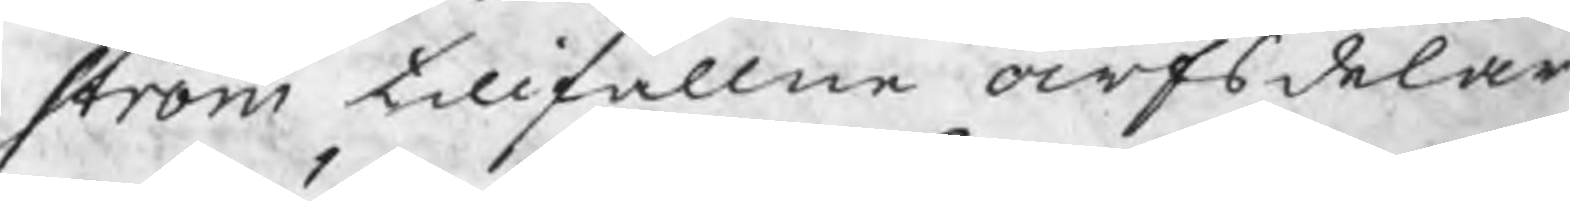ström tillfallne arfsdelar
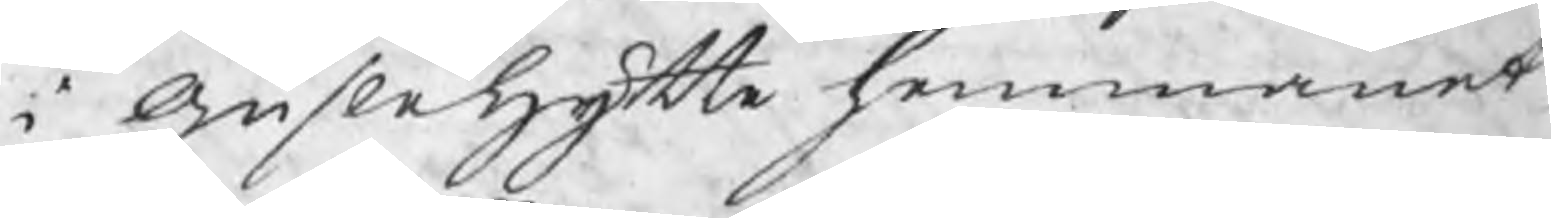i Guslehytte hemmanet,
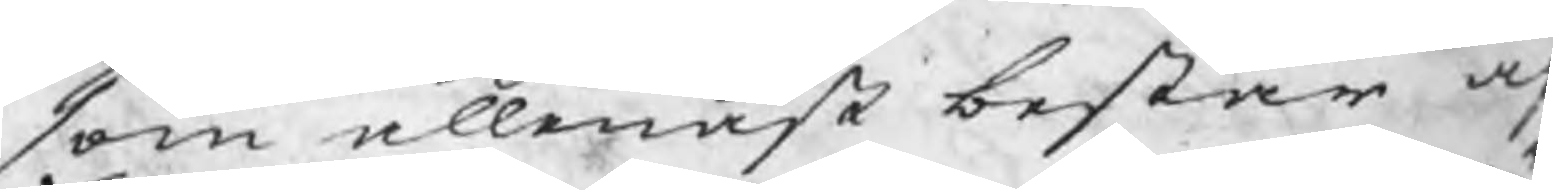som allenast består af
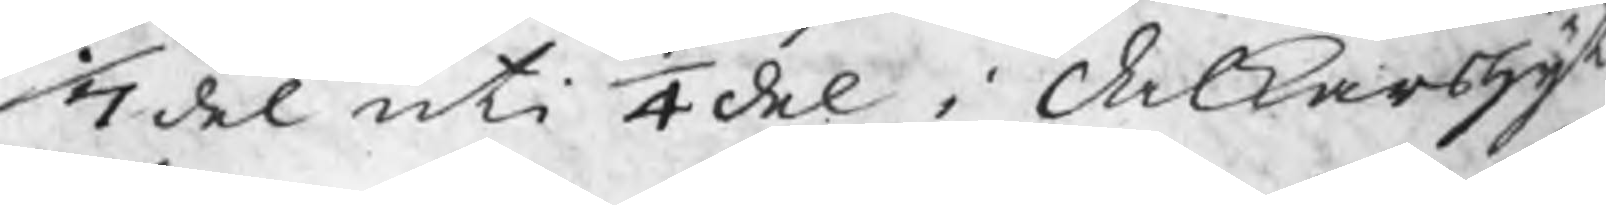1/7del uti 1/4del i Dalkarshyt¬
